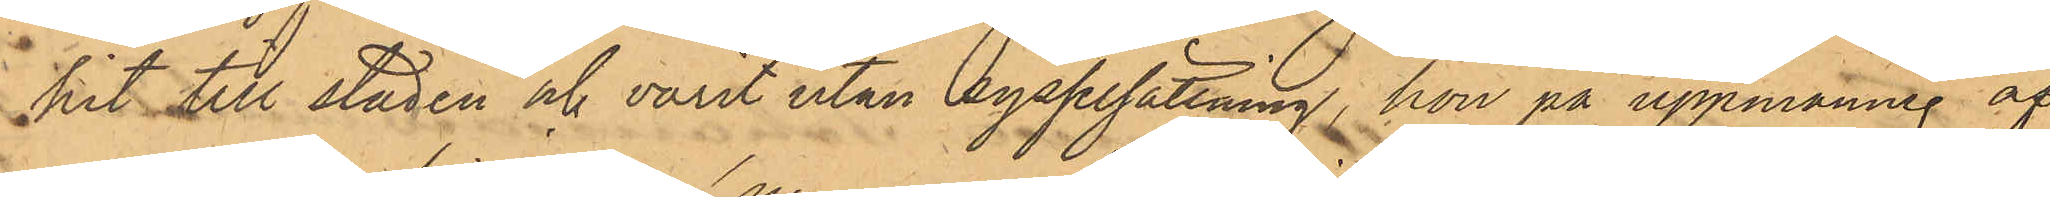hit till staden och varit utan sysselsättning, hon på uppmaning of
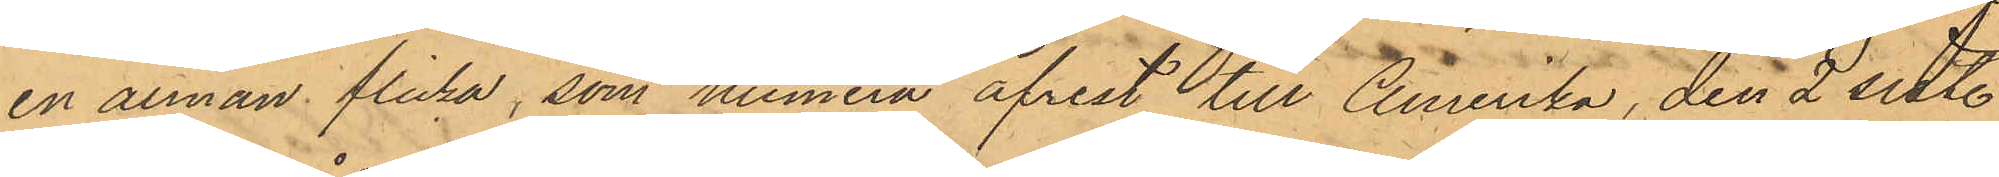en annan flicka, som numera afrest till Amerika, den 2 sist.
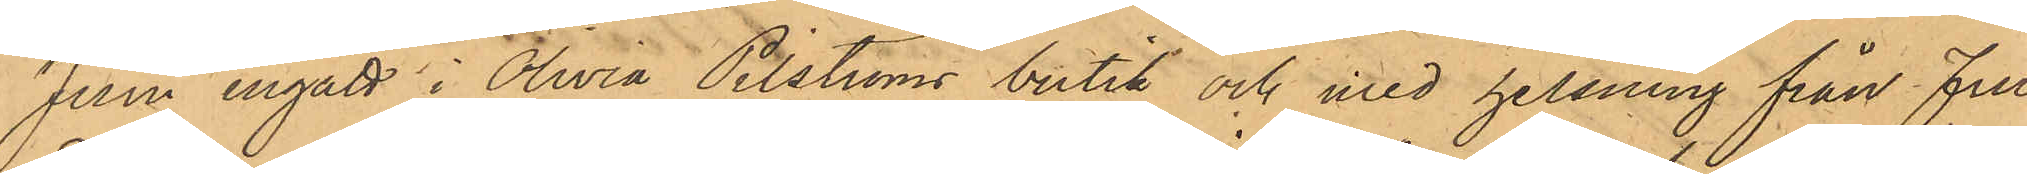Juni ingått i Olivia Pilströms butik och med helsning från Fru
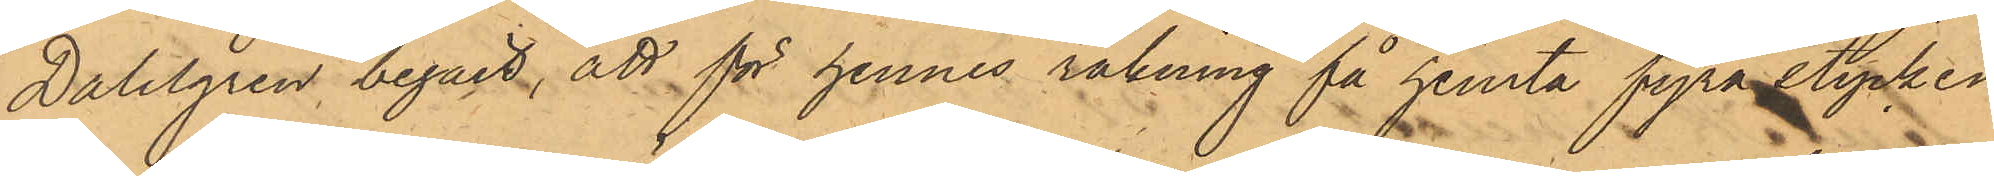Dahlgren begärt, att för hennes räkning få hemta fyra stycken
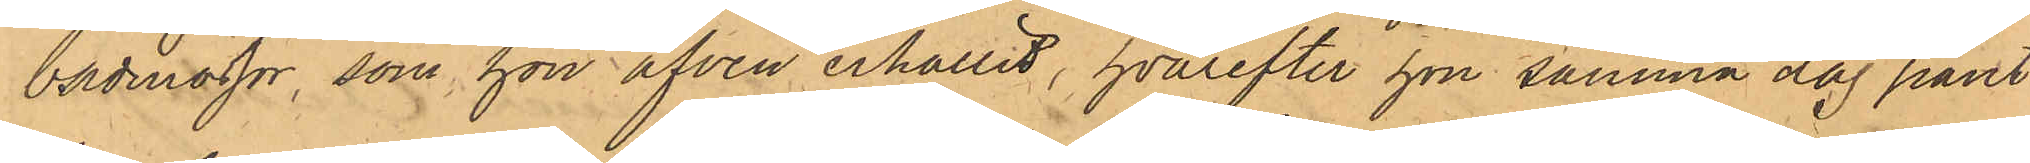badmössor, som hon äfven erhållit, hvarefter hon samma dag pant¬
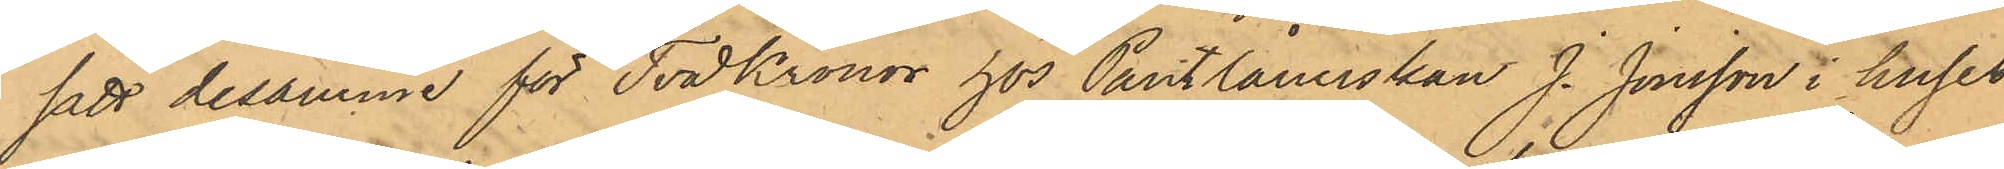satt desamme för Två kronor hos Pantlånerskan J. Jonsson i huset
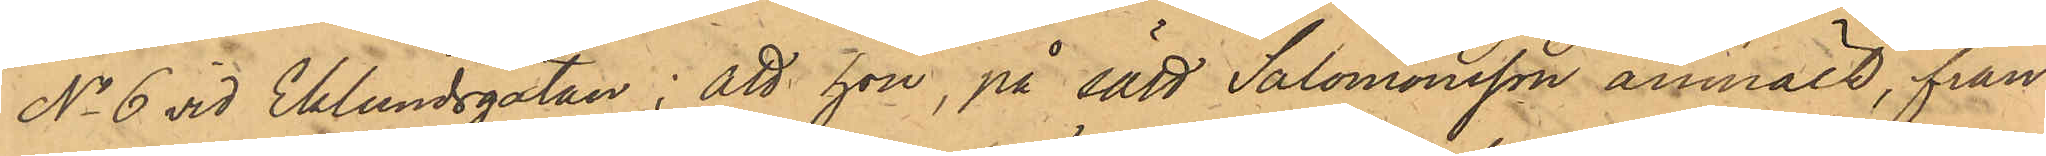No 6 vid Eklundsgatan; att hon, på sätt Salomonsson anmält, från
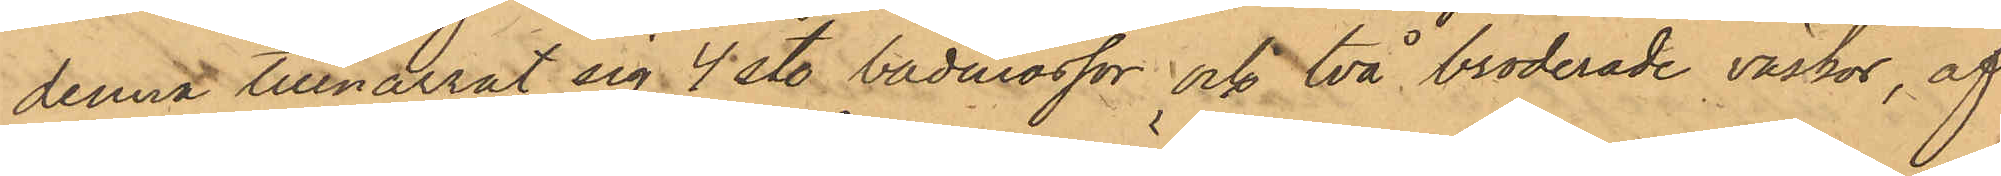denna tillnarrat sig 4 st. badmössor och två broderade väskor, af
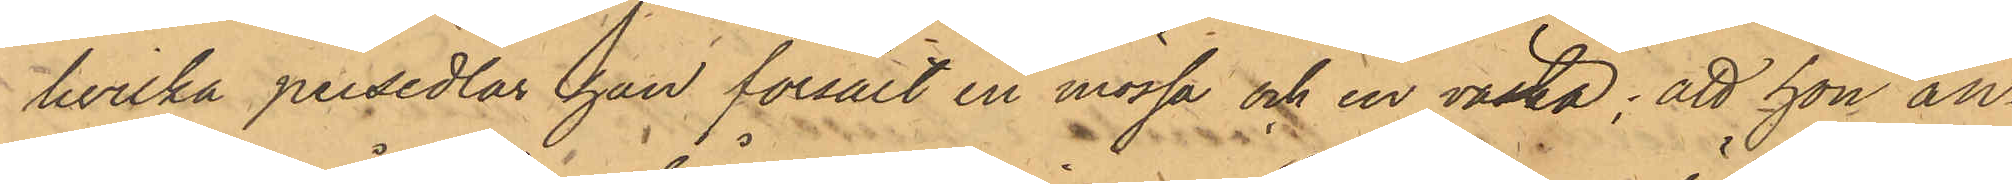hvilka persedlar han försålt en mössa och en väska; att hon an¬
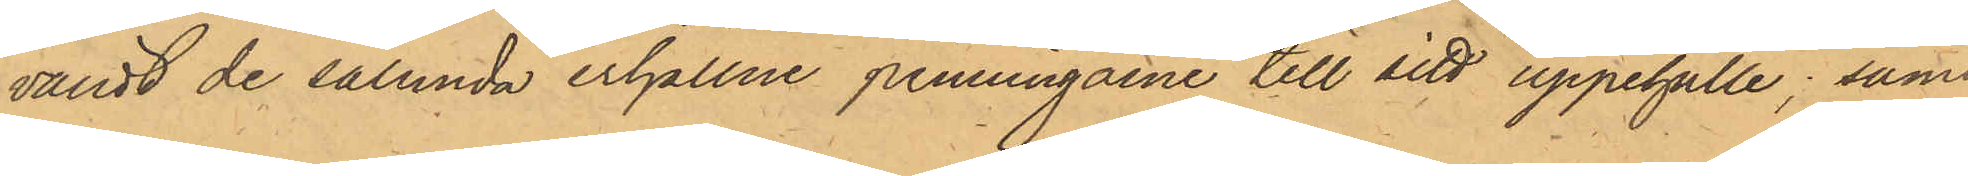vändt de sålunda erhållne penningarne till sitt uppehälle; samt
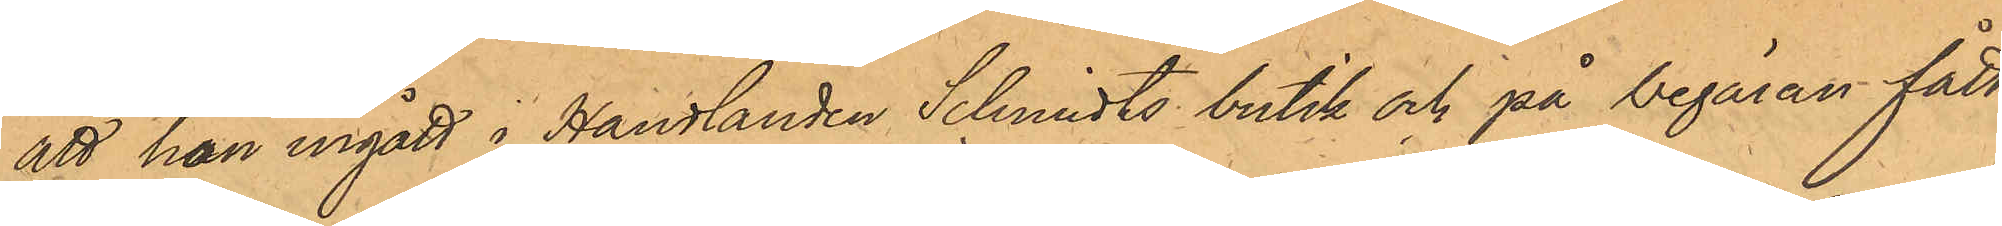att hon ingått i Handlanden Schmidts butik och på begäran fått
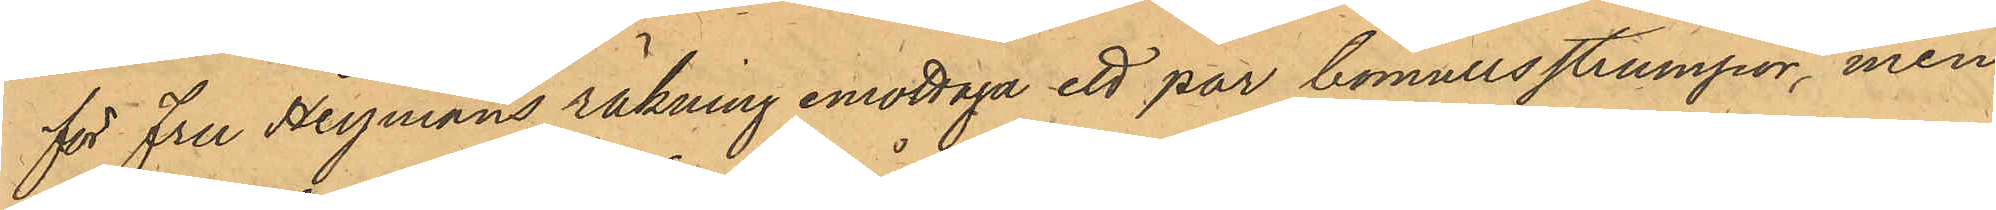för Fru Heymans räkning emottaga ett par bomullsstrumpor, men
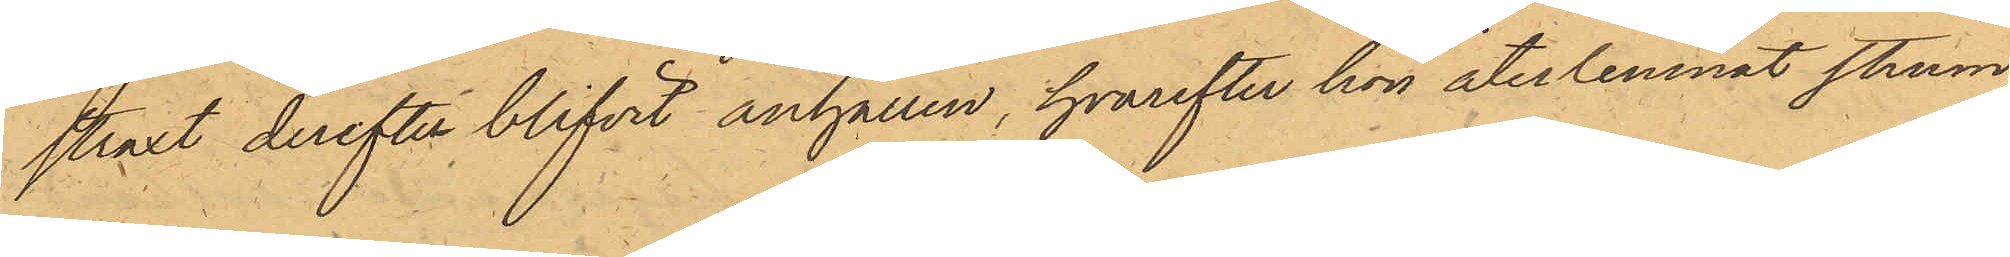straxt derefter blifvit anhållen, hvarefter hon återlemnat strum¬
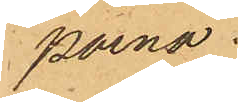porna.
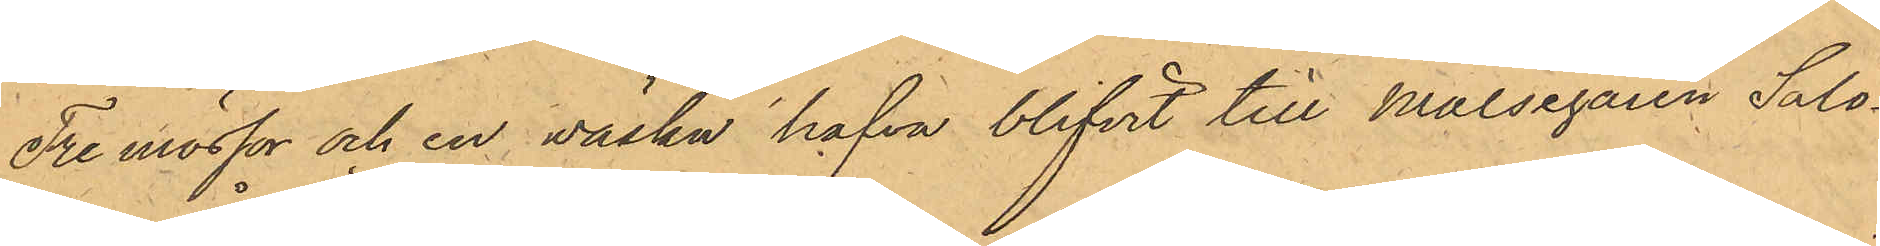Tre mössor och en wäska hafva blifvit till Målsegaren Salo¬
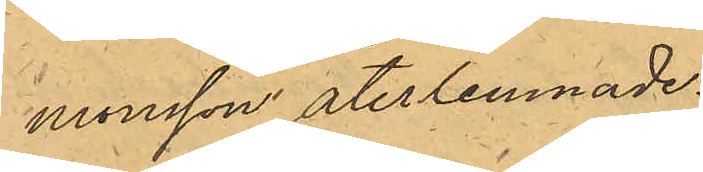monsson återlemnade.
